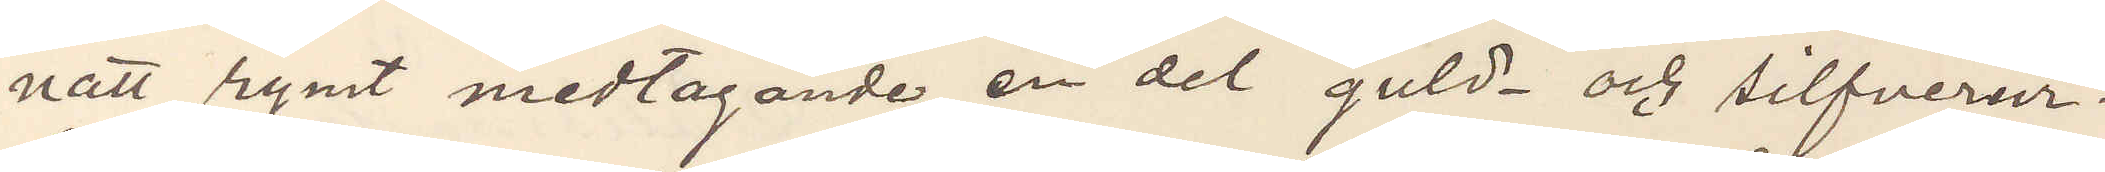natt rymt medtagande en del guld- och silfverur.
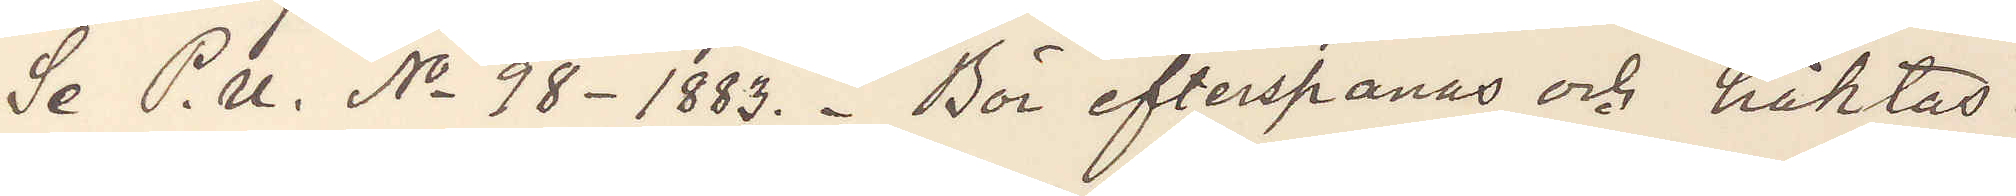Se P. U. No 98 - 1883.  Bör efterspanas och häktas.
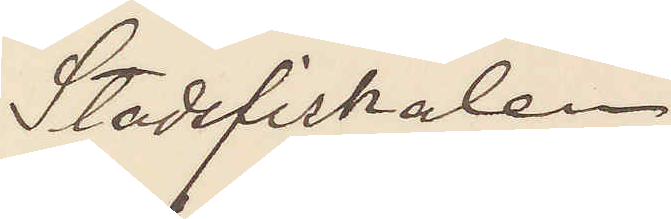Stadsfiskalen
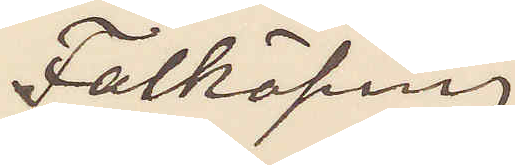Falköping
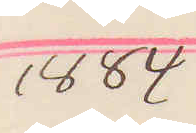1884
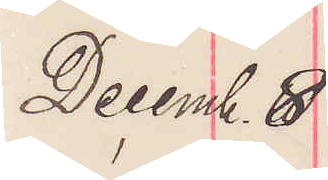Decemb. 8
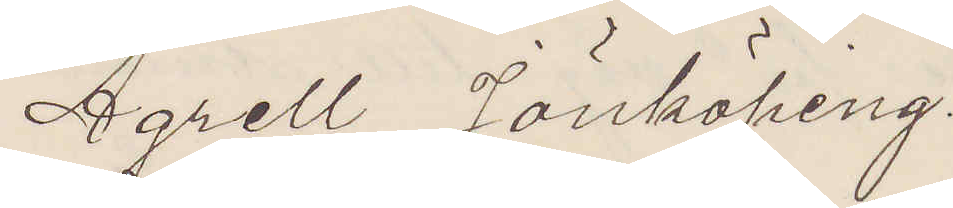Agrell Jönköping.
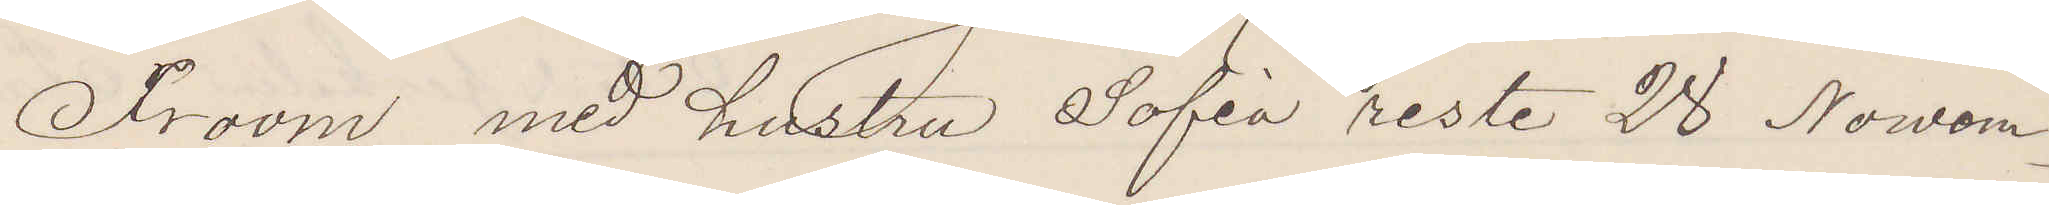Froom med hustru Sofia reste 28 Nowem¬
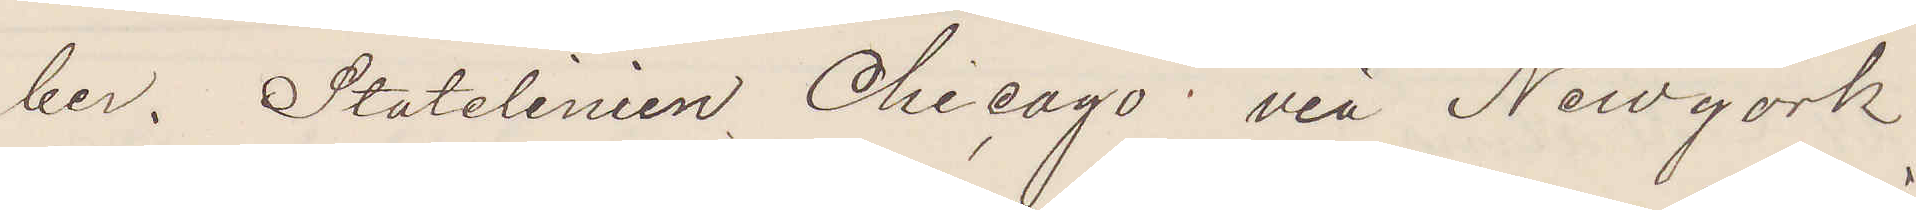ber. Statelinien Chicago via Newyork.
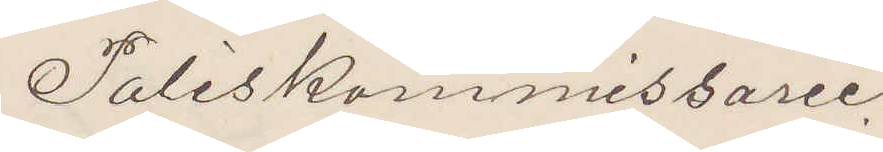Poliskommissarien
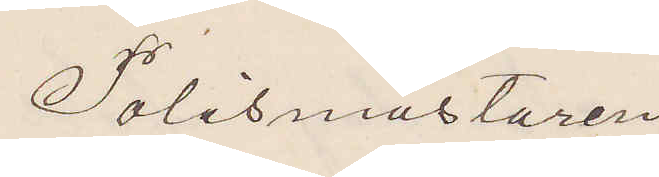Polismästaren
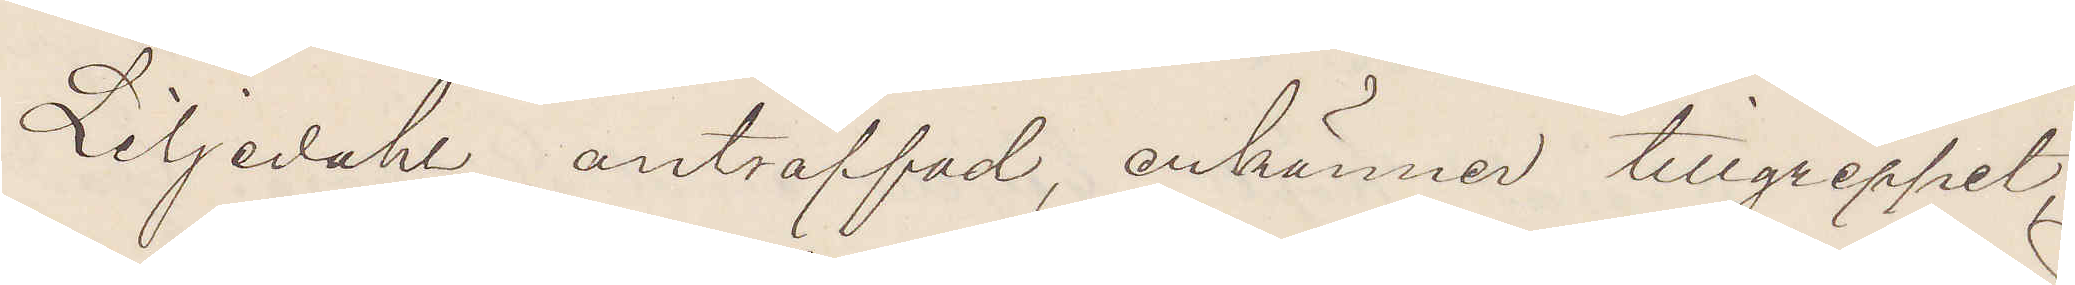Liljedahl anträffad, erkänner tillgreppet,
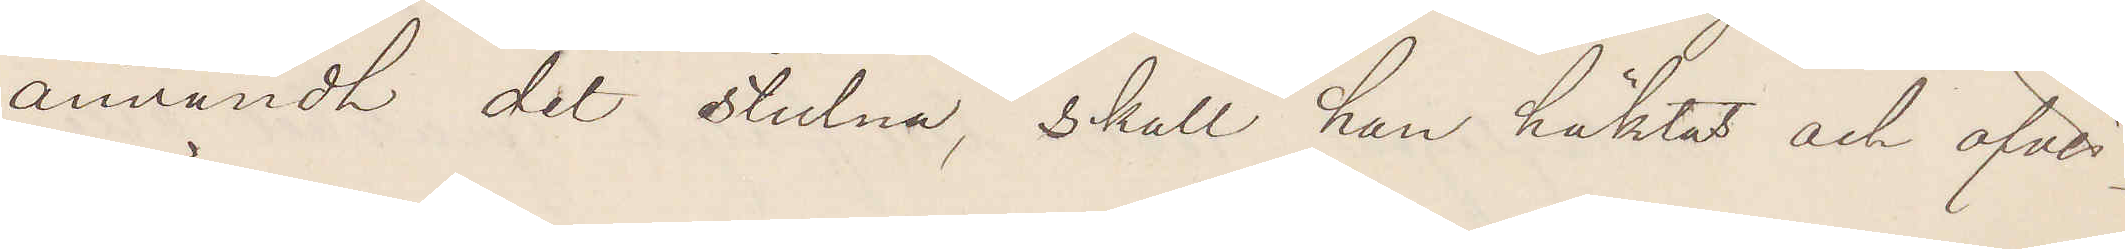användt det stulna, skall han häktas och öfver¬
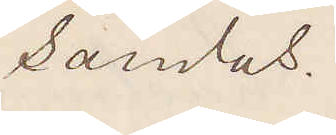sändas.
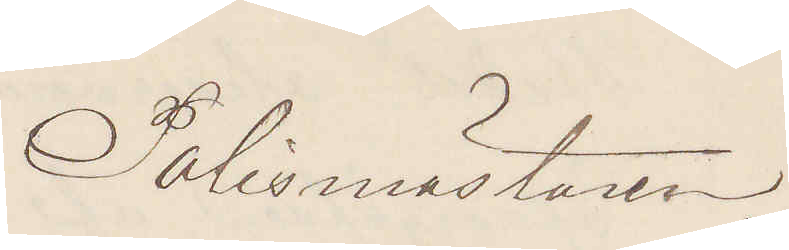Polismästaren.
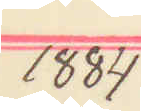1884
